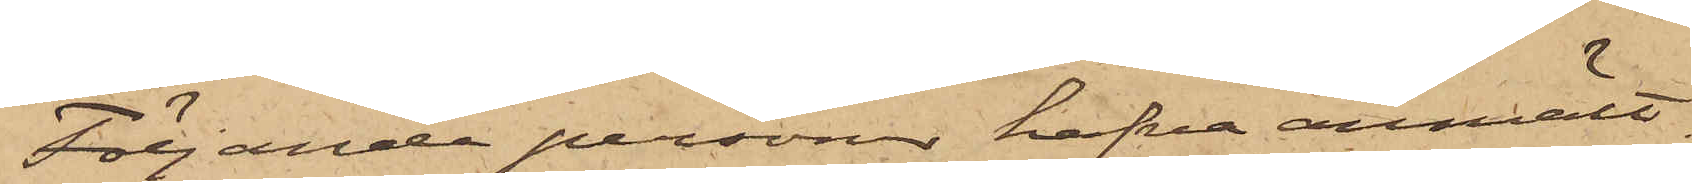Följande personer hafva anmält:
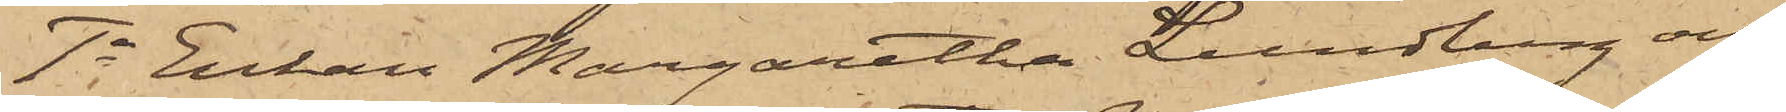1o Enkan Margaretha Lundberg och
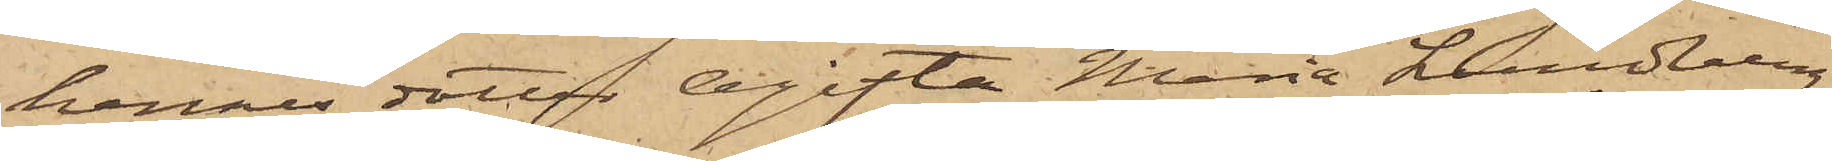hennes dotter Ogifta Maria Lundberg,
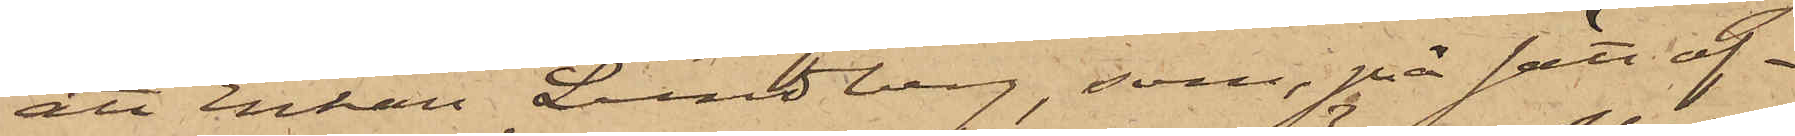att Enkan Lundberg, som, på sätt of¬
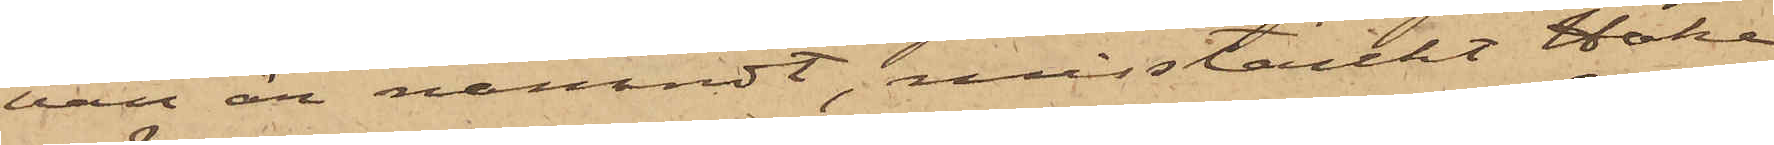van är nämndt, misstänkt Hake
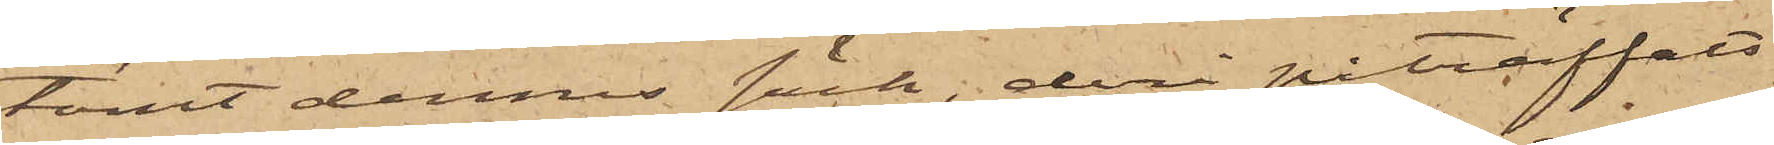tömt dennes säck, deri påträffats
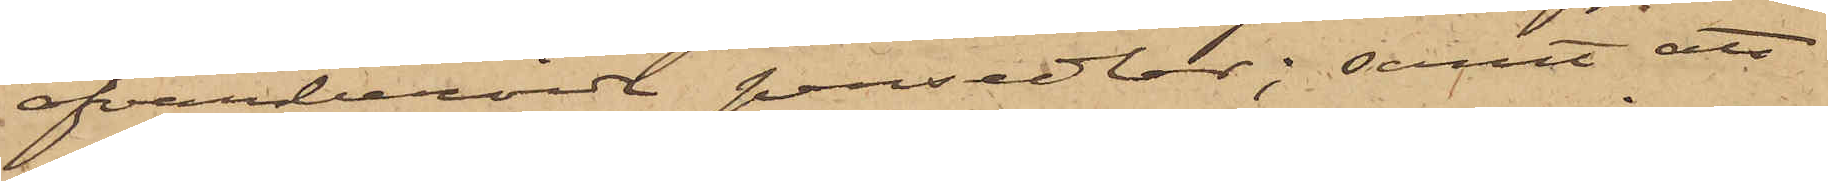ofvanberörde persedlar; samt att
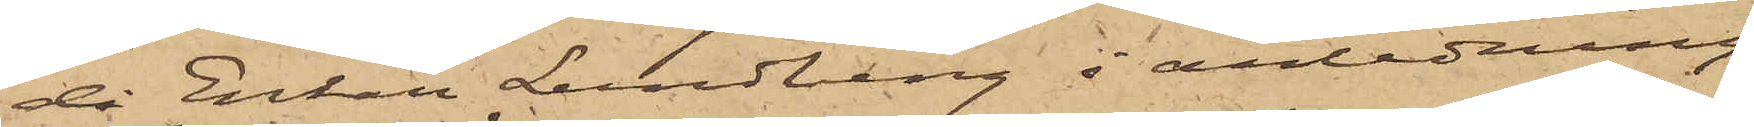då Enkan Lundberg i anledning
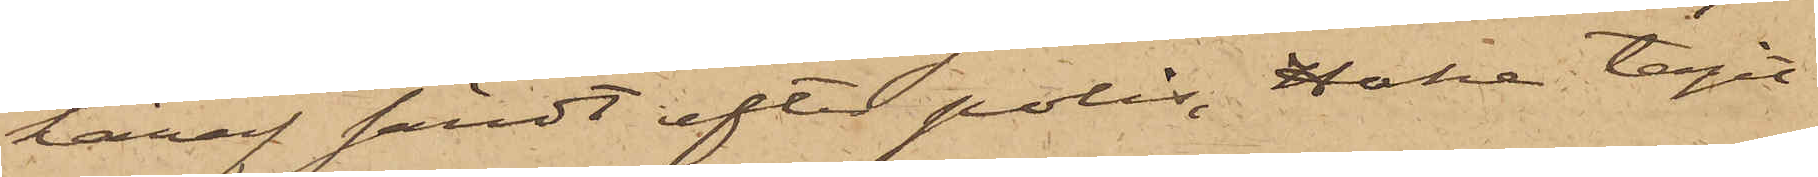häraf sändt efter polis, Hake tagit
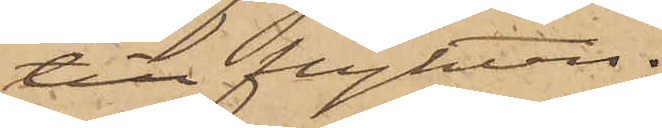till flykten.
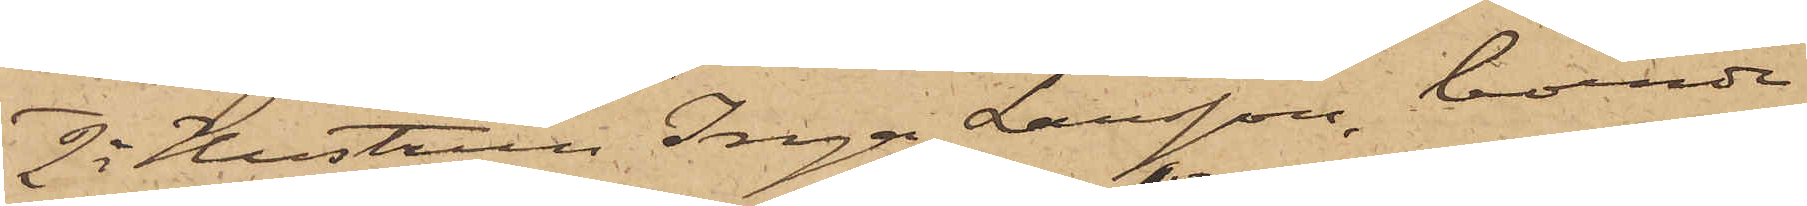2o Hustrun Inga Larsson, boende
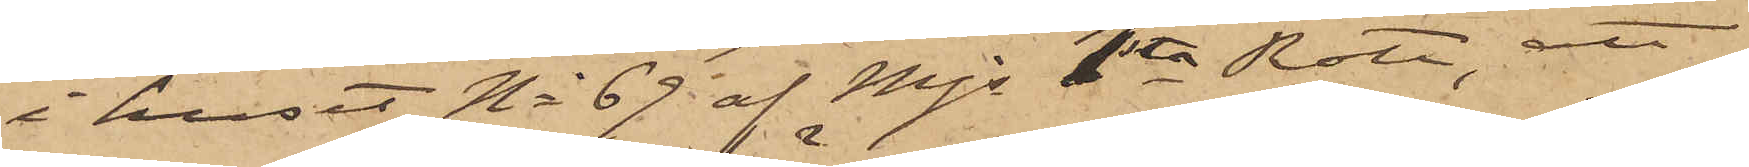i huset No 69 af Mjs 1sta Rote, att
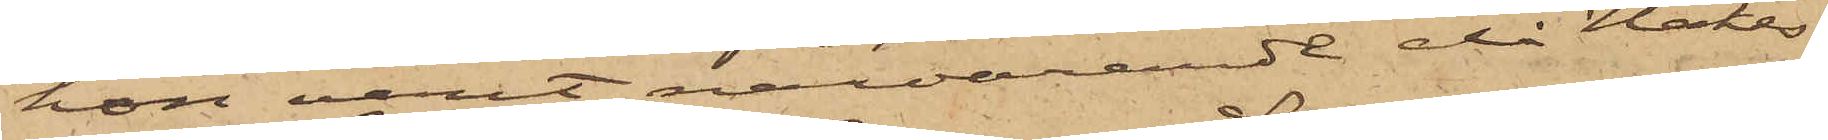hon varit närvarande då Hakes
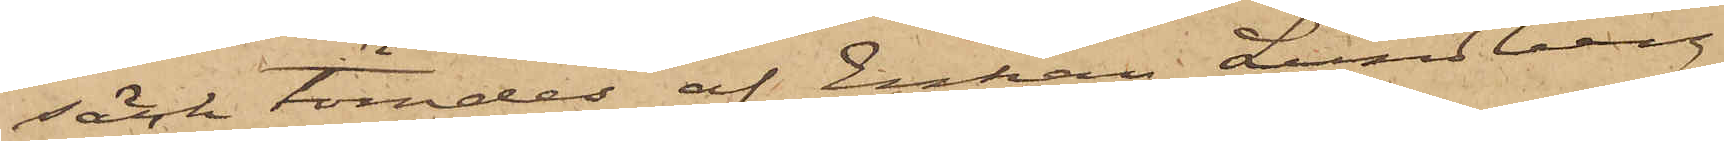säck tömdes af Enkan Lundberg
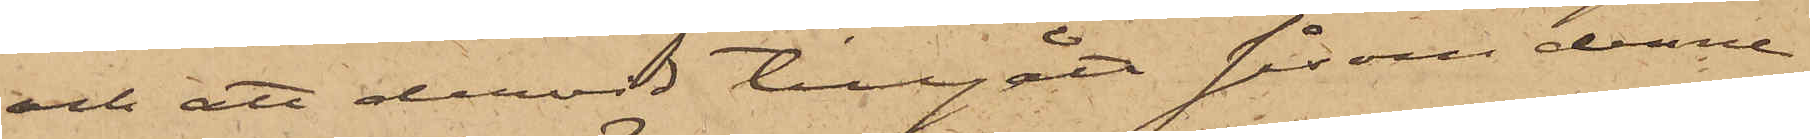och att dervid tillgått såsom denne
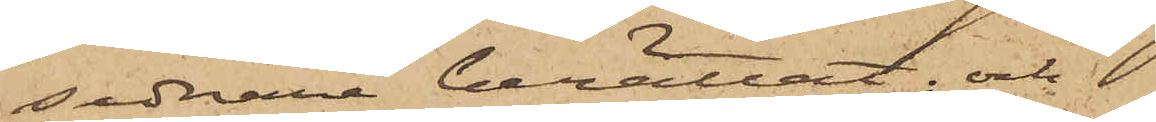sednare berättat; och
